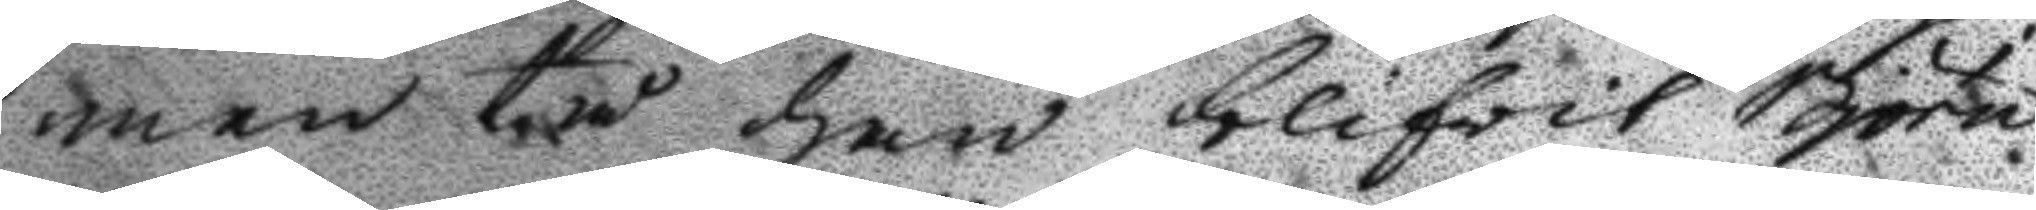men tå han blifwit Björn
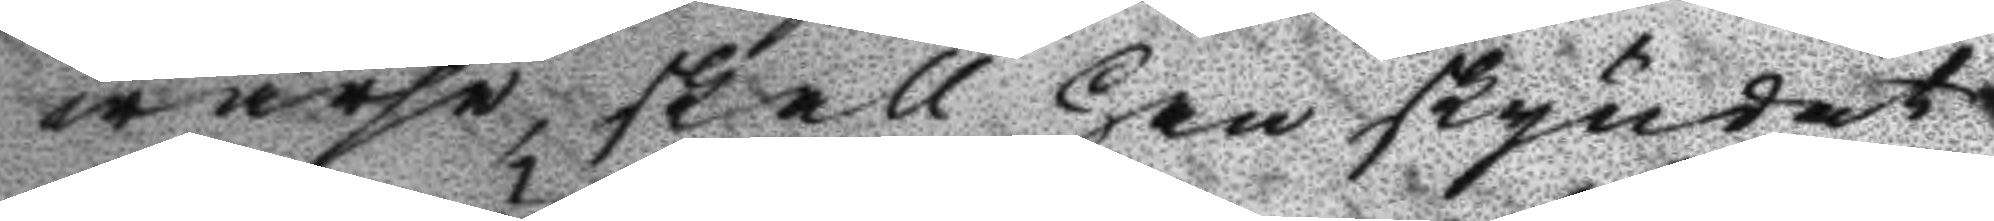warse, skall han skyndat
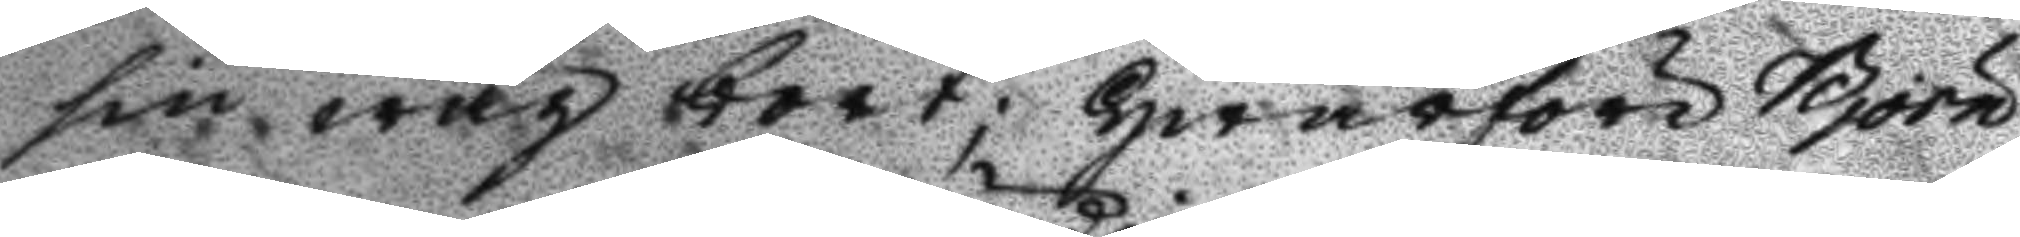sin wäg bort; Hwarföre Björn
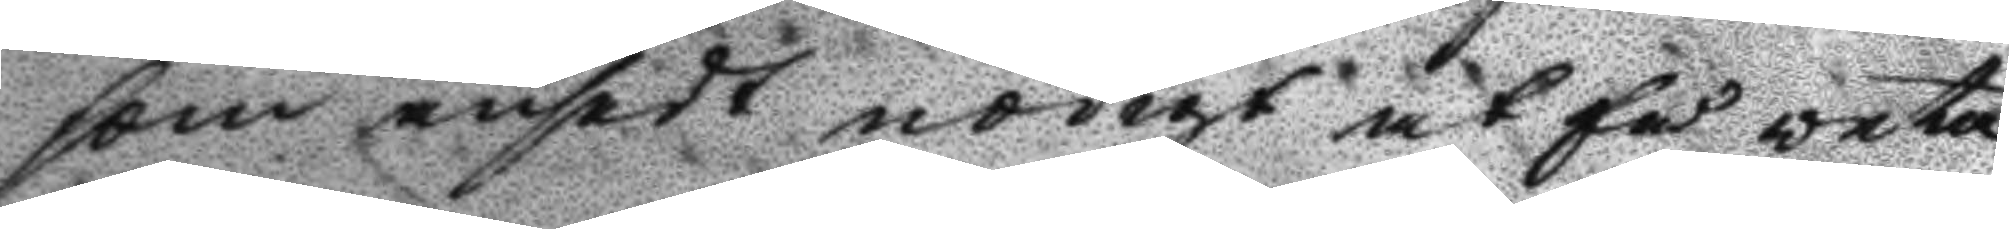som ansedt nödigt at få veta
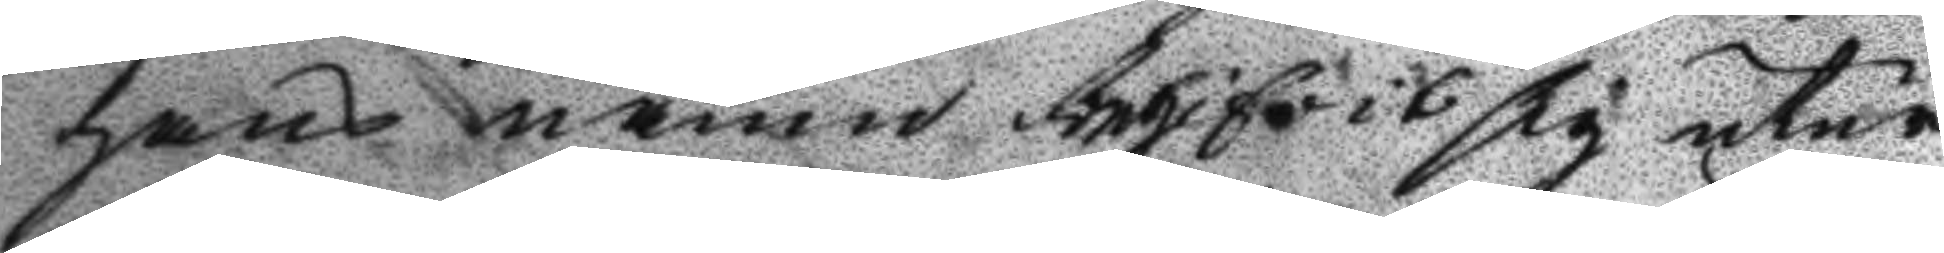hans namn begifvit sig utur
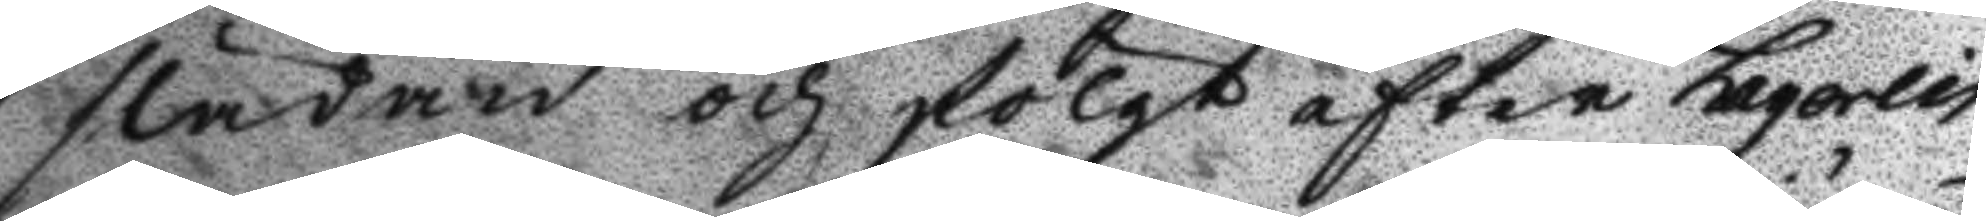släden och fölgt efter Laqorlin
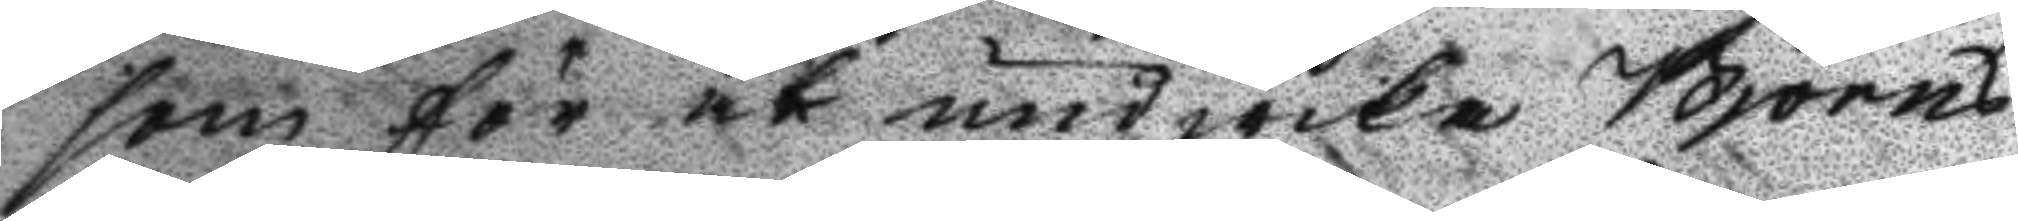som för at undwika Björns
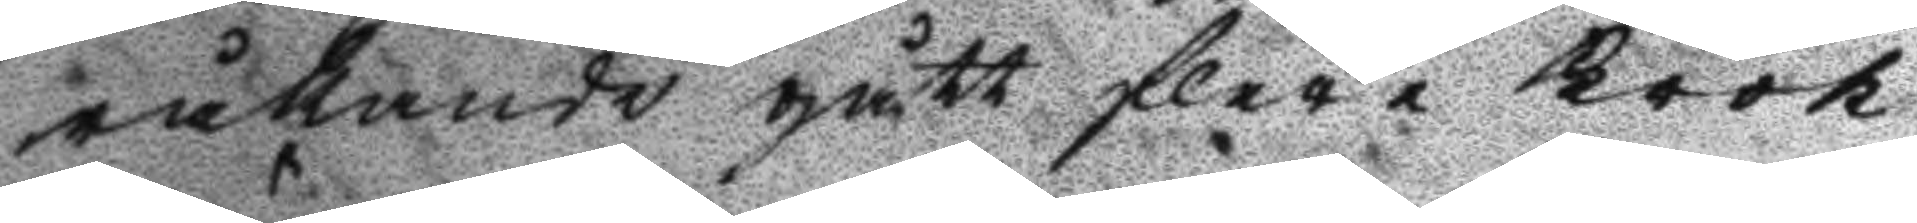råkande gått flere Krok
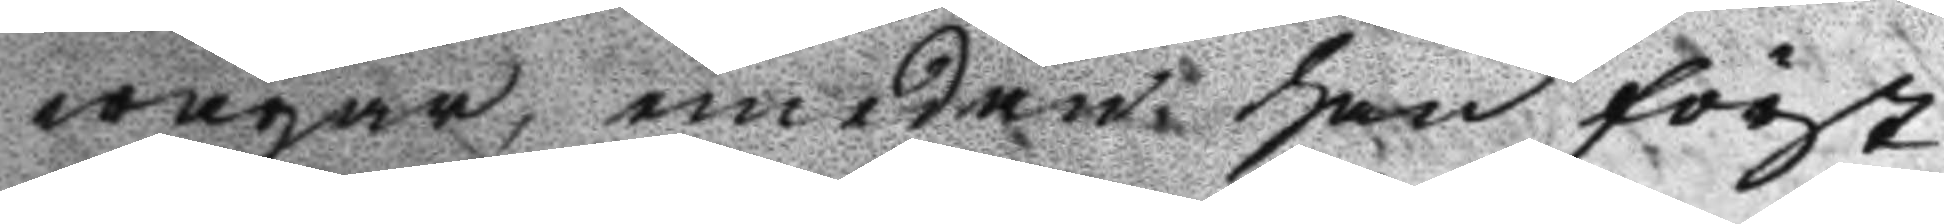wägar, emedan han först
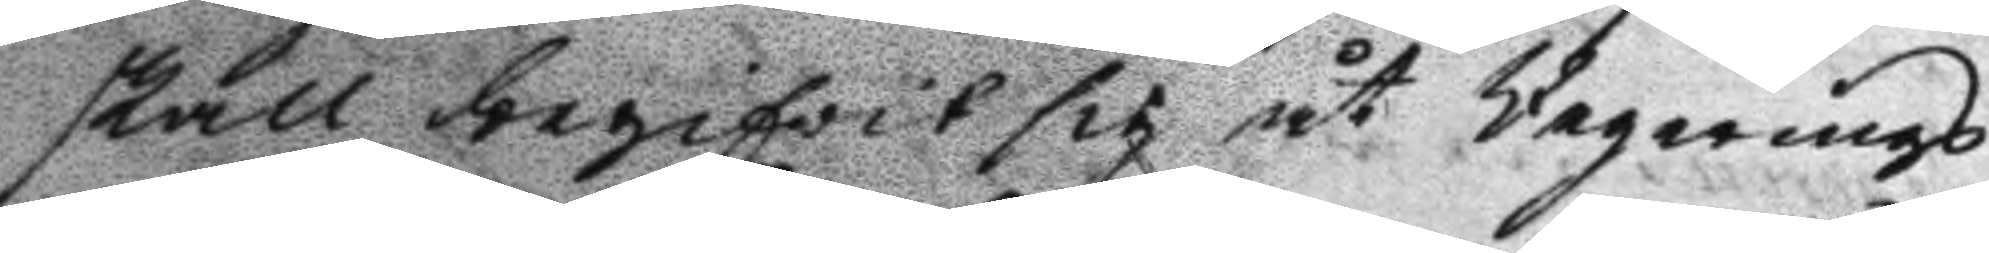skall begifvit sig åt Vegerings
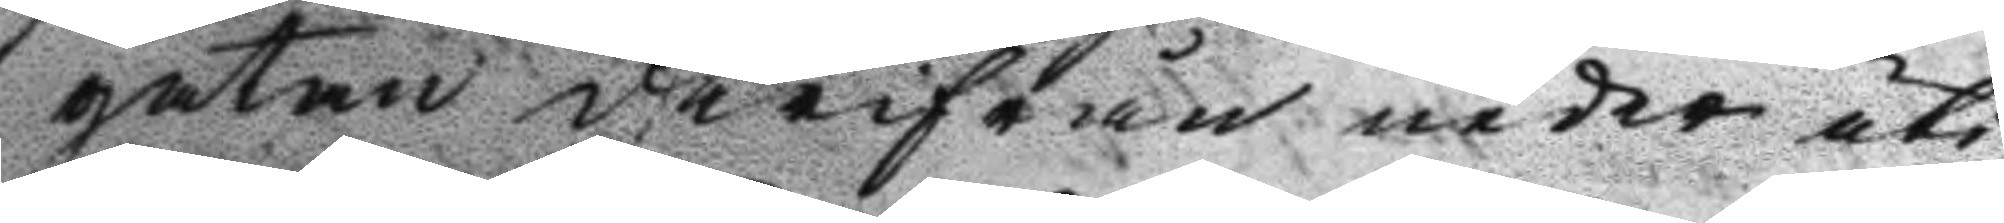gatan därifrån neder uti
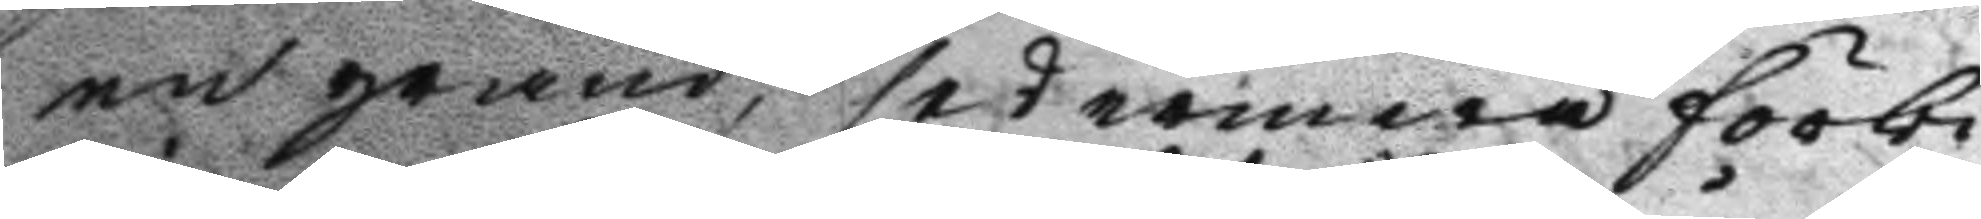en gränd, sedermera förbi
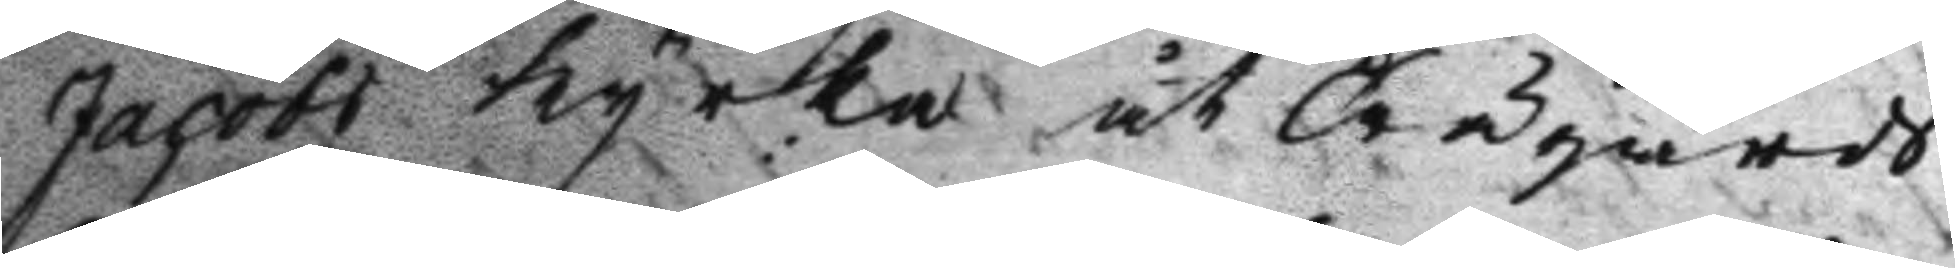Jacob Kyrka åt Trägårds
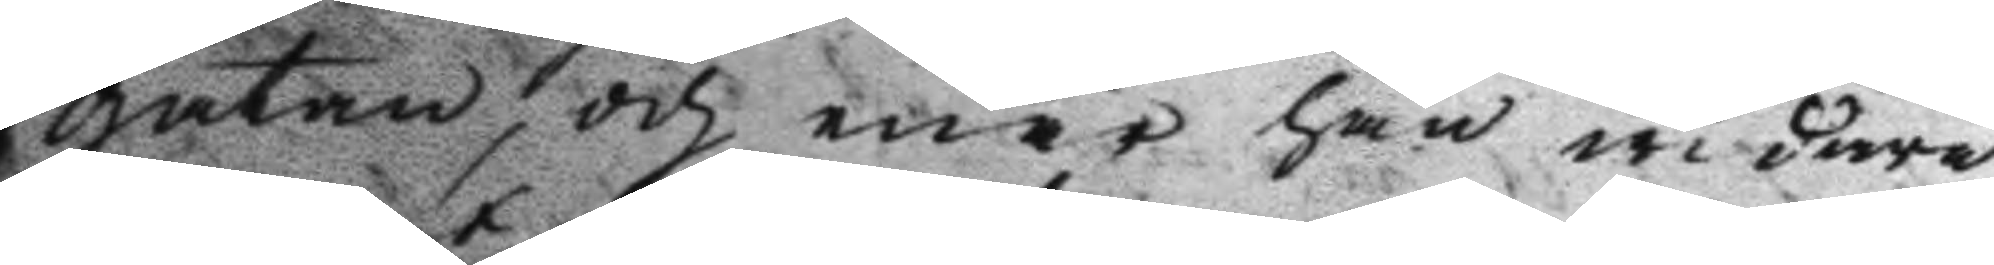gatan, och enär han widare
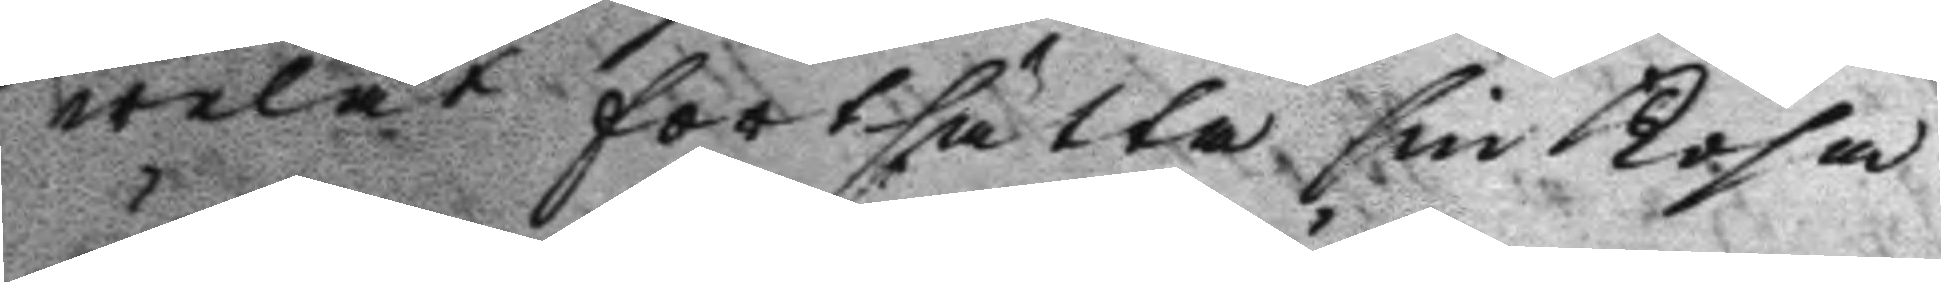welat fortsätta sin Kosa
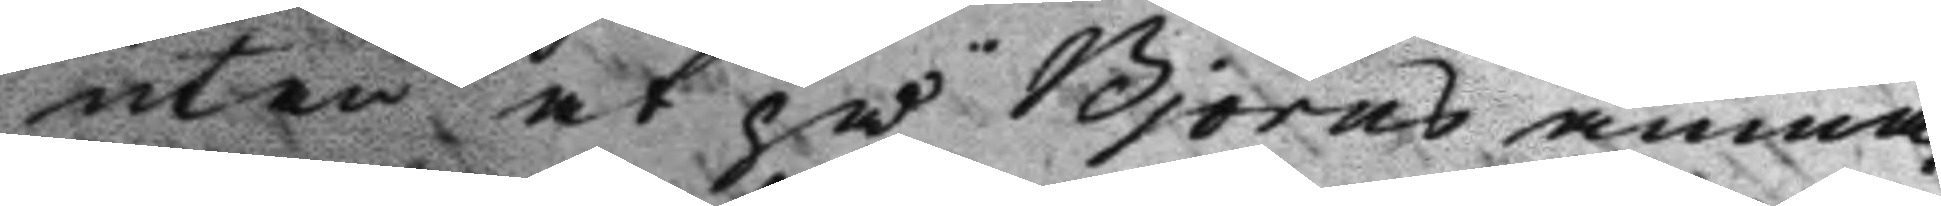utan at på Björns anma¬
